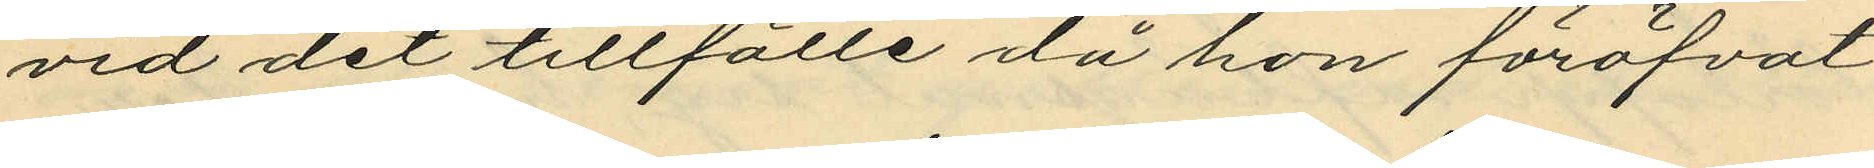vid det tillfälle då hon föröfvat
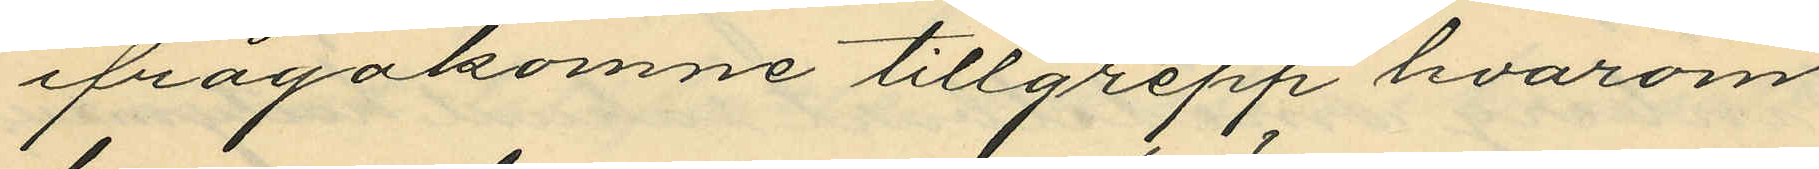ifrågakomne tillgrepp hvarom
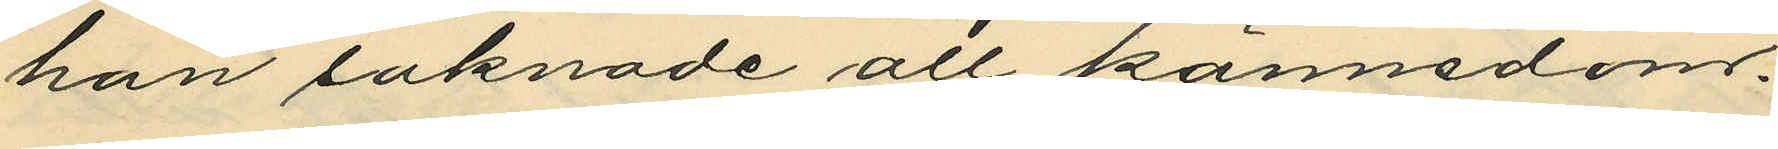han saknade all kännedorrs.
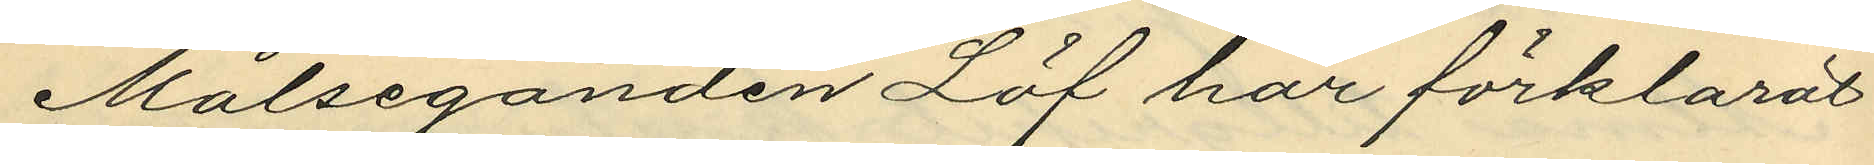Målseganden Löf har förklarat
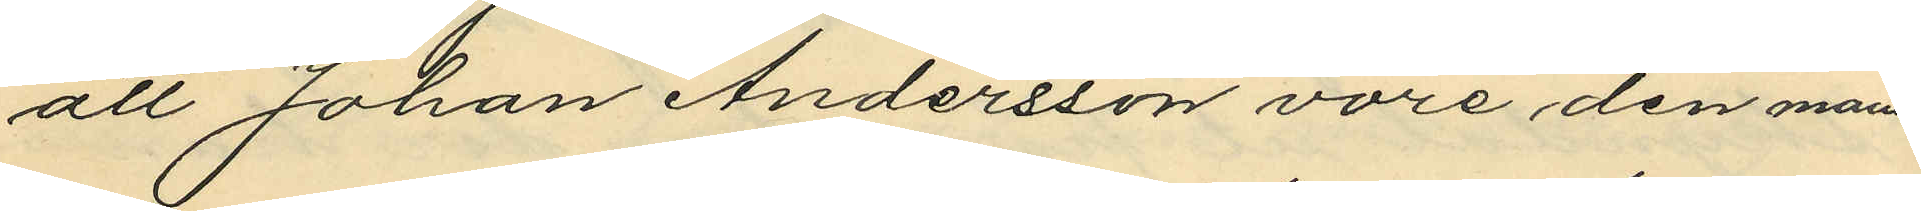att Johan Andersson vore den mans¬
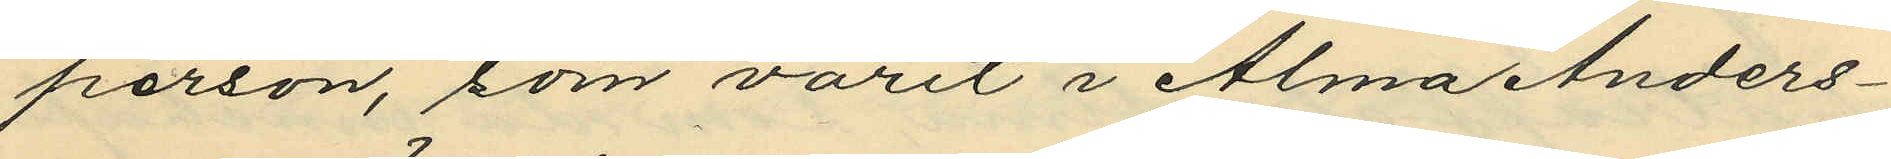person, som varit i Alma Anders¬
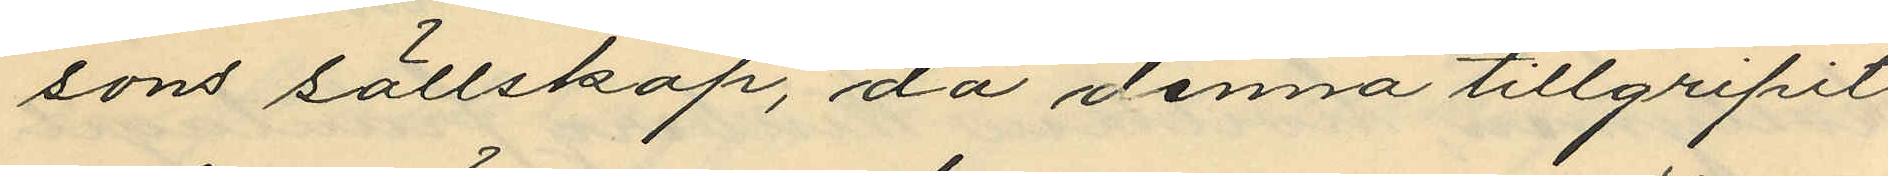sons sällskap, då denna tillgripit
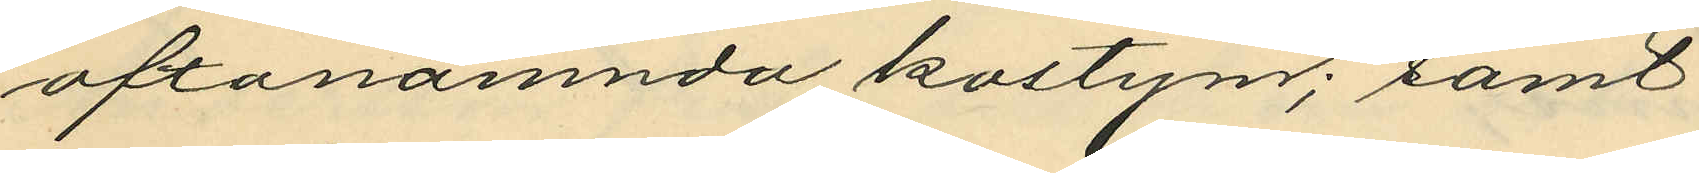oftanämnda kostym; samt
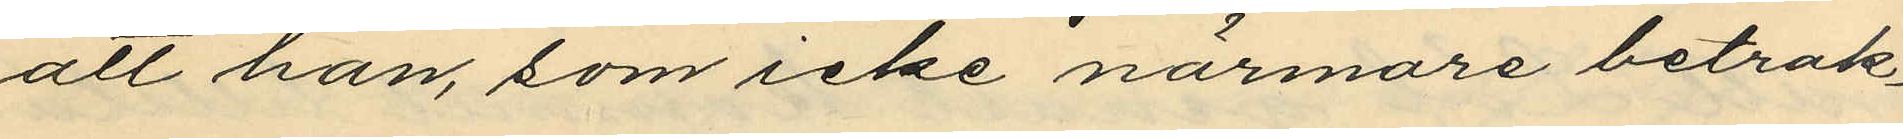att han, som icke närmare betrak¬
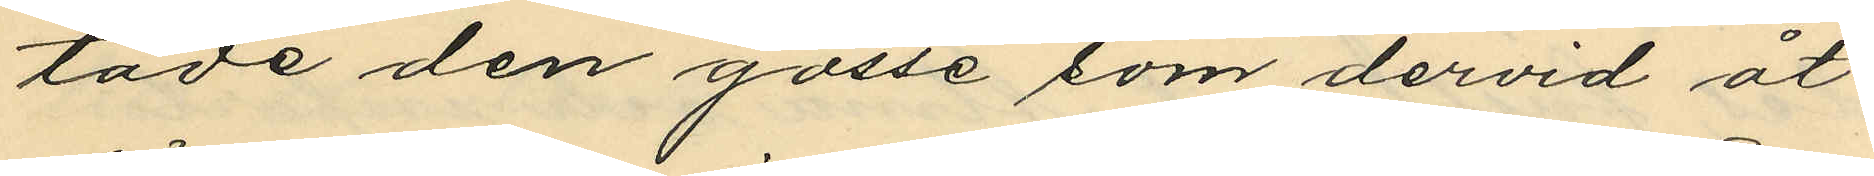tade den gosse som dervid åt¬
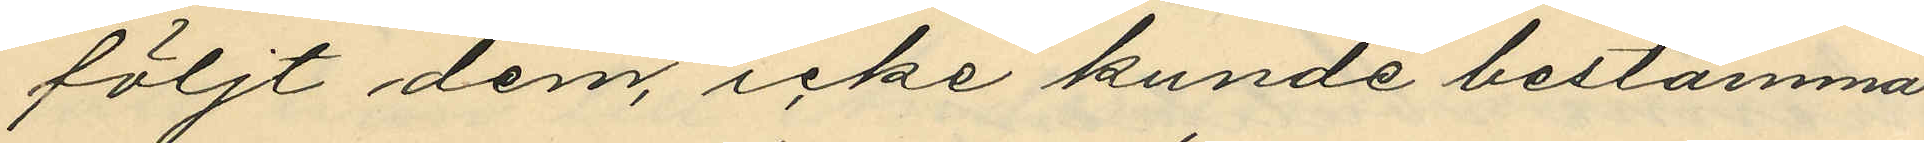följt dem, icke kunde bestämma
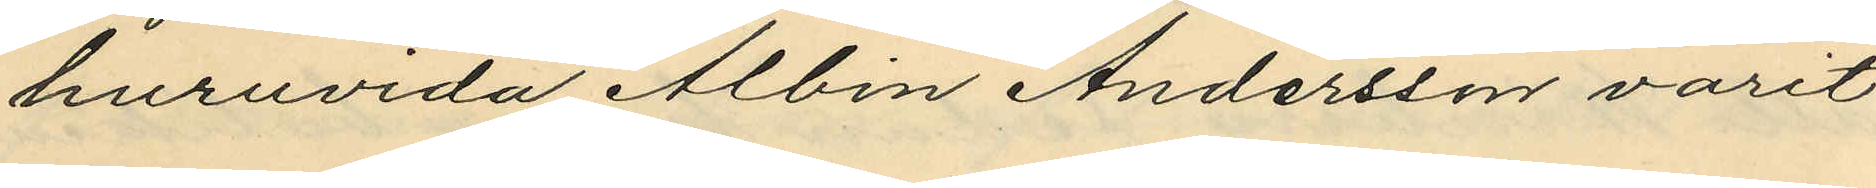huruvida Albin Andersson varit
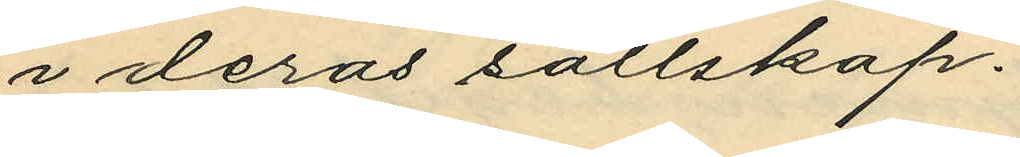i deras sällskap.
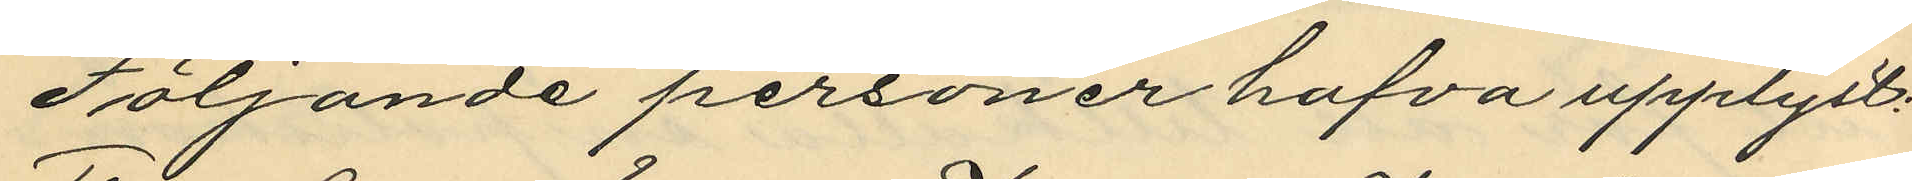Följande personer hafva upplyst:
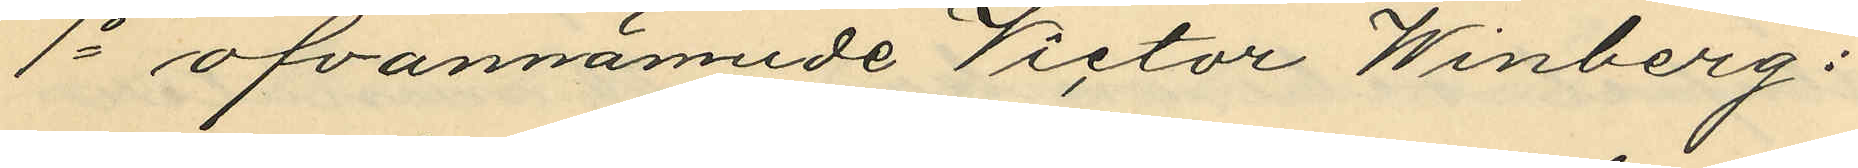1o ofvannämnde Victor Winberg:
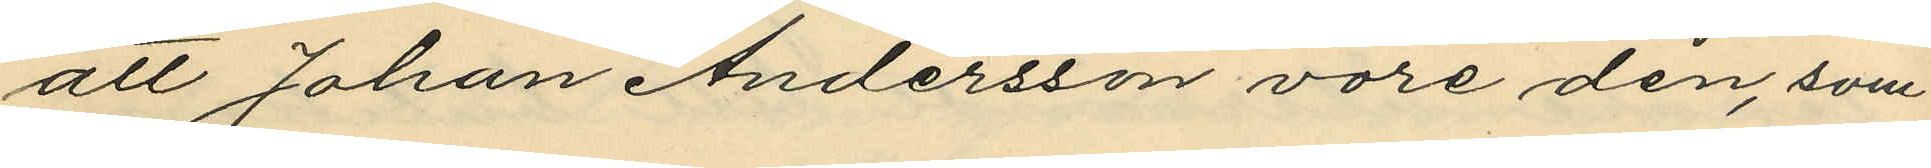att Johan Andersson vore den, som
